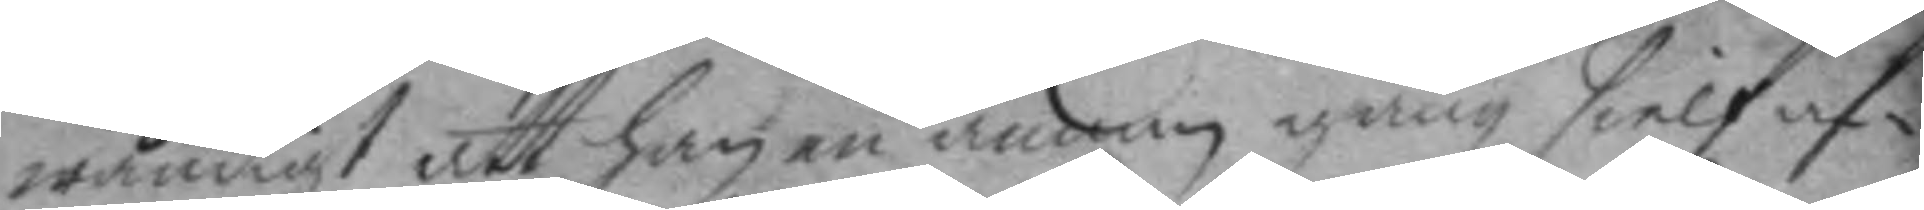wändigt att han en annan gång sielf af¬
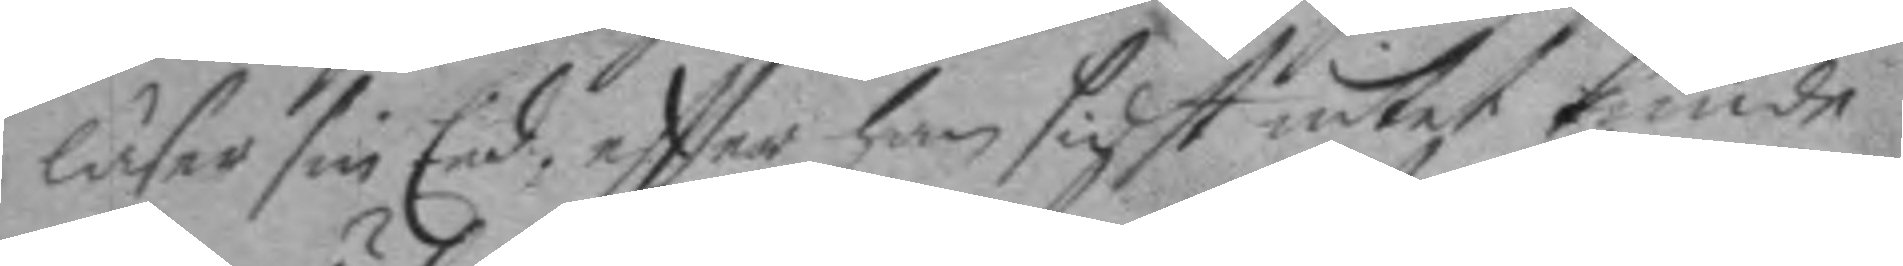läser sin Eed, eftter han sidst intet kunde
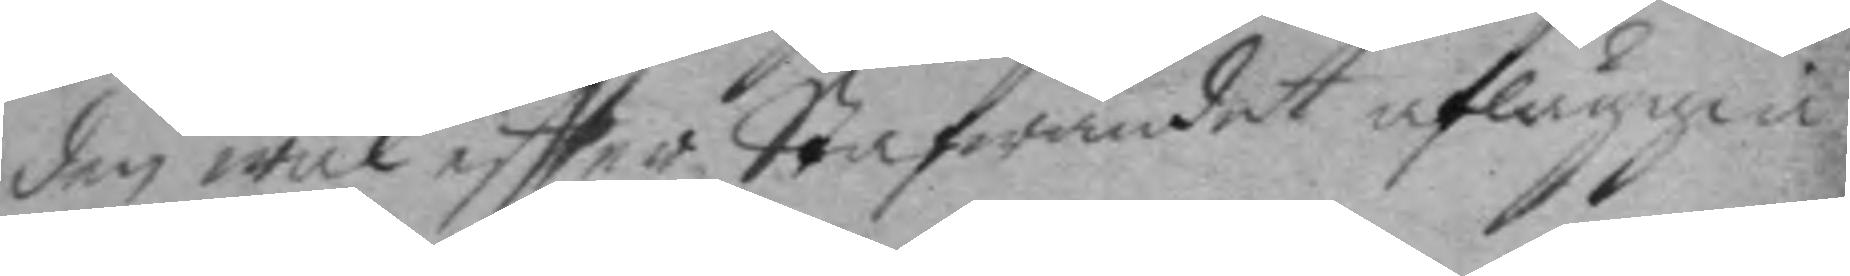den wäl eftter Stafwandet afläggia
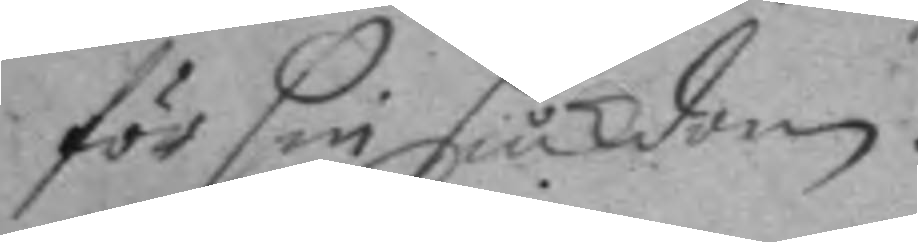för sin siukdom.
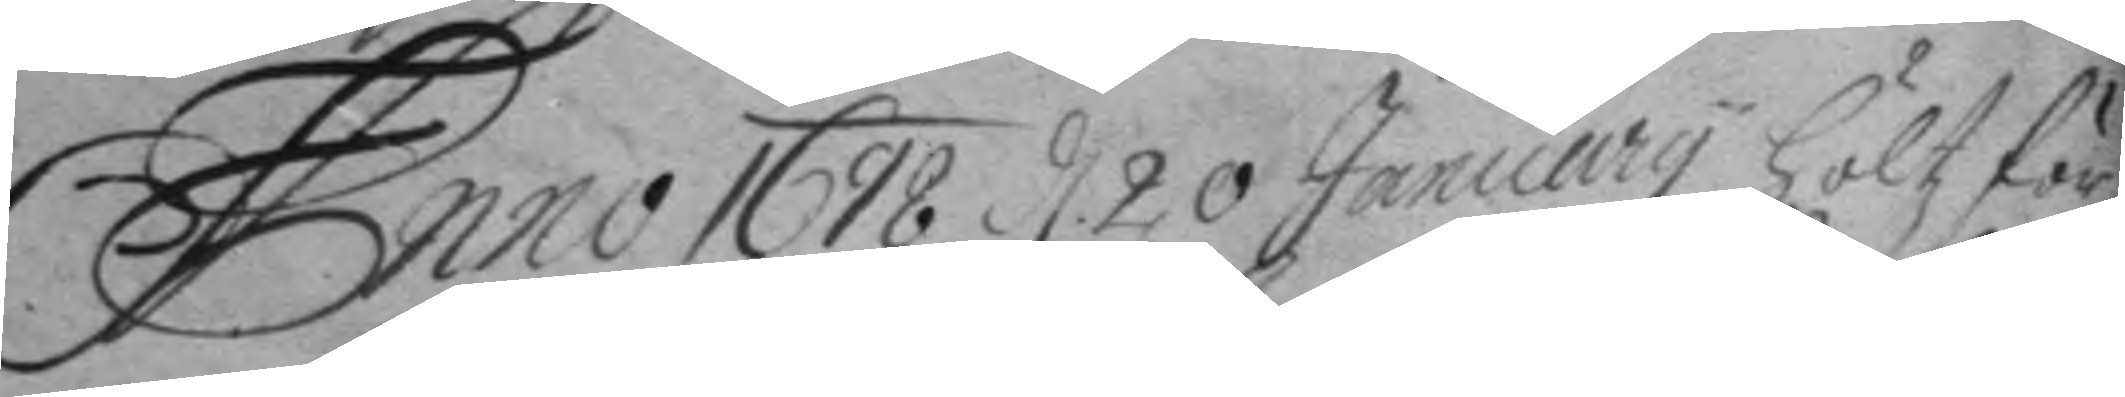Anno 1698 d. 20 January höltz för¬
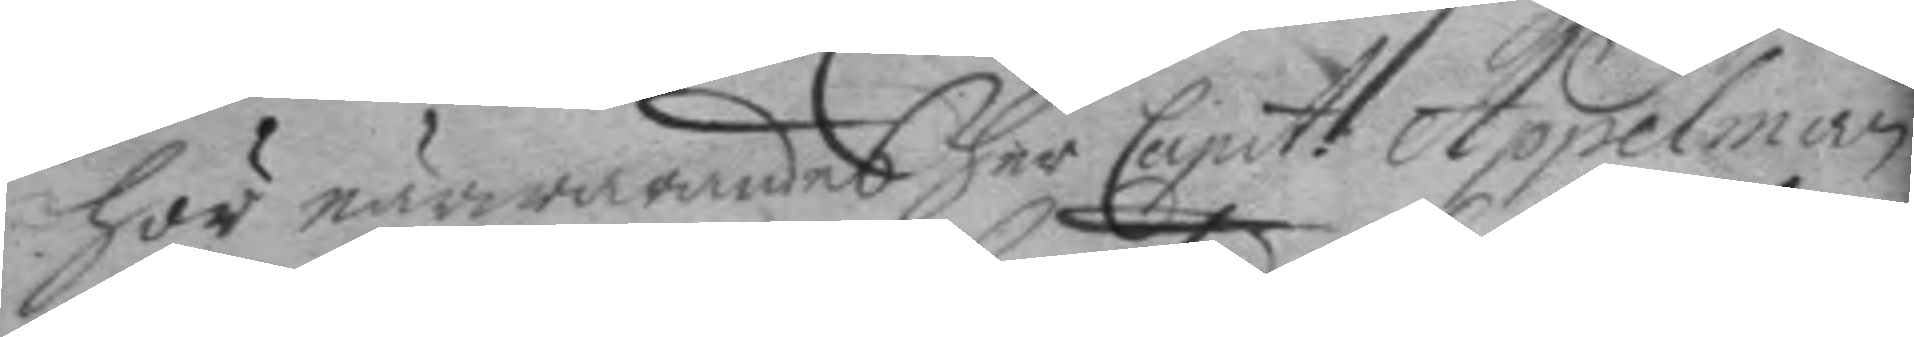hör närwarandes her Capit: Appelman
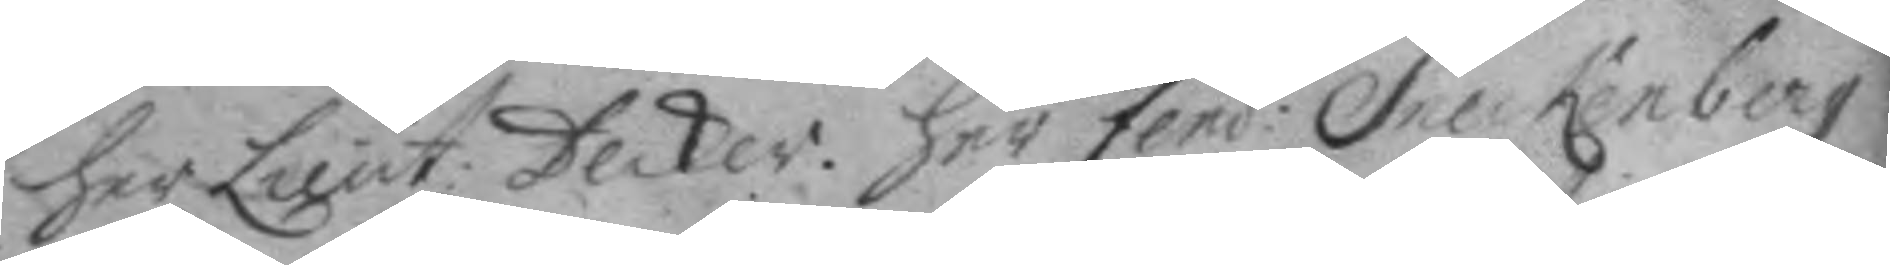her Lieut: Decker. her fend: Sneckenberg
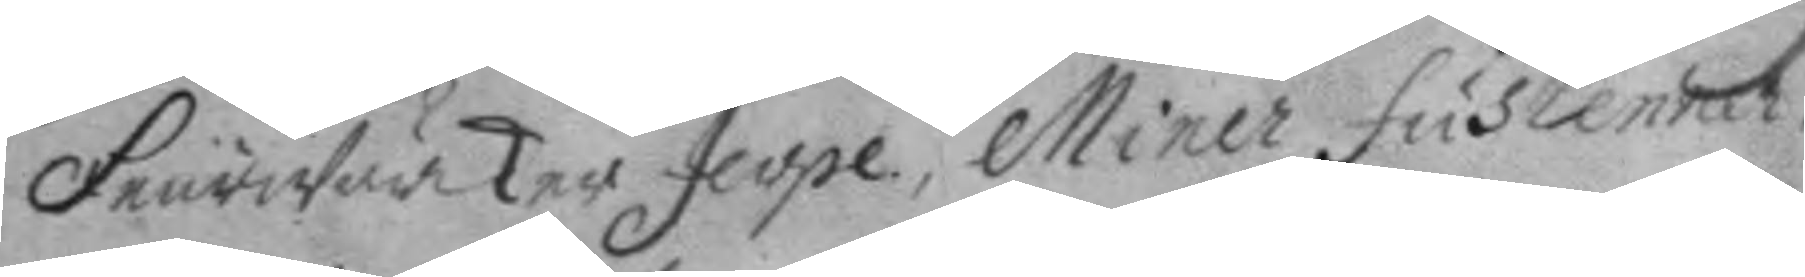Feurwärker Jerpe, Miner Fustlenner,
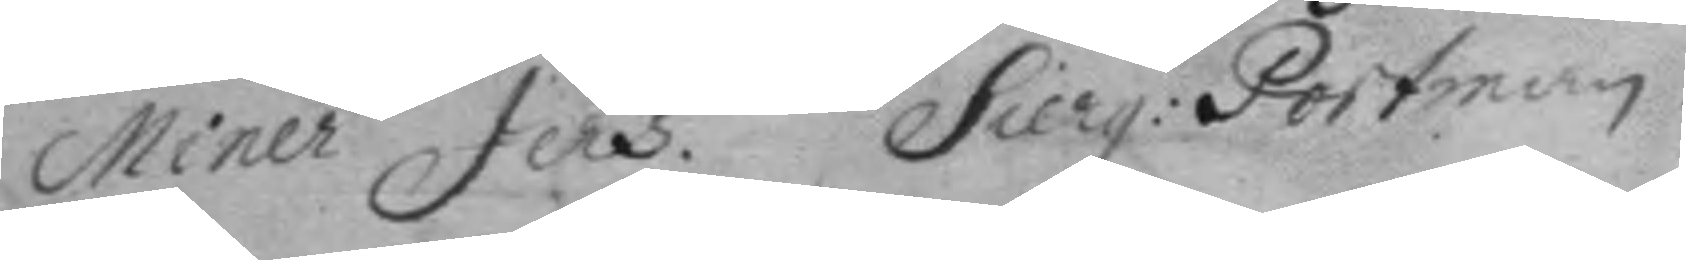Miner Jers, Sierg: Portman.
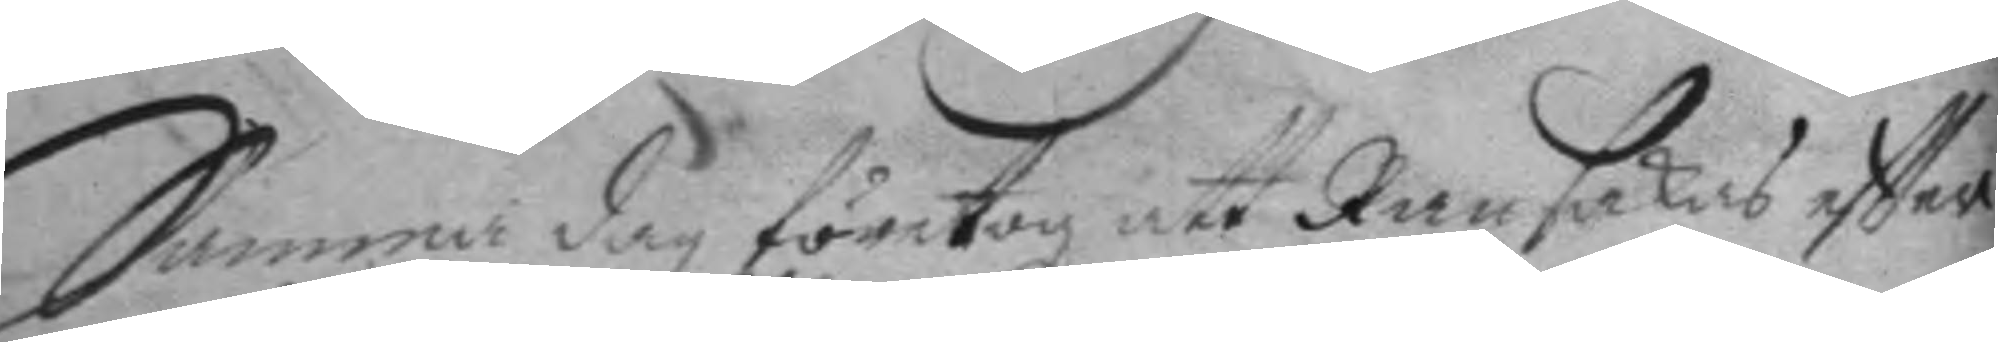Samma dag företogz att Ransakas eftter
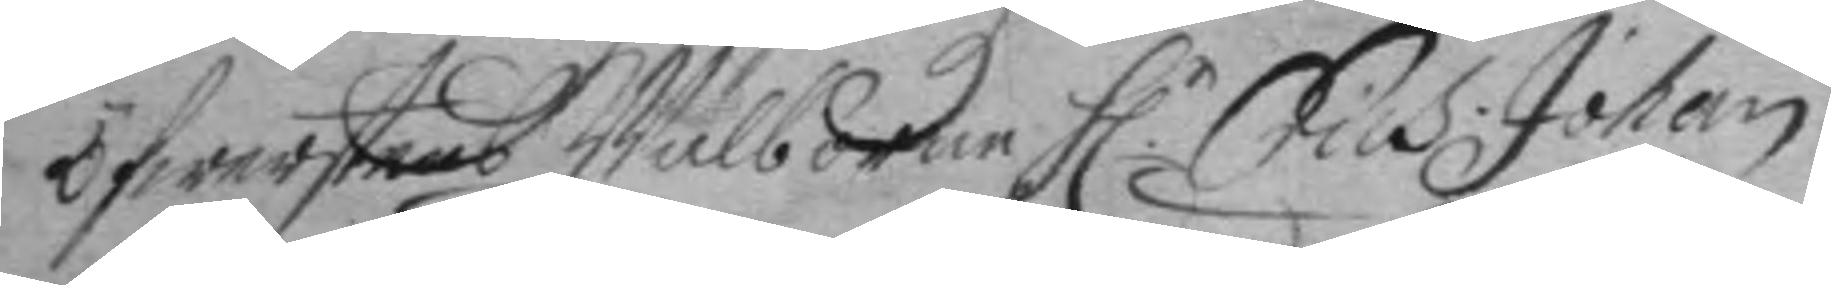öfwerstens Wälborne H.r Erich Johan
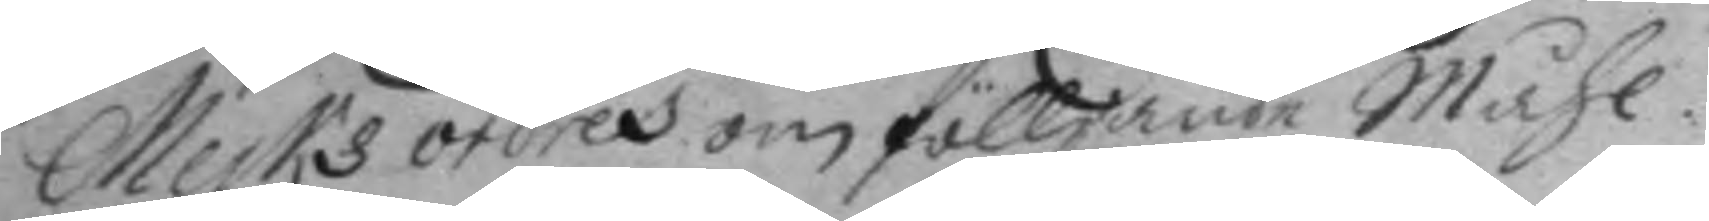Merks ordres om fölljande Måhl.
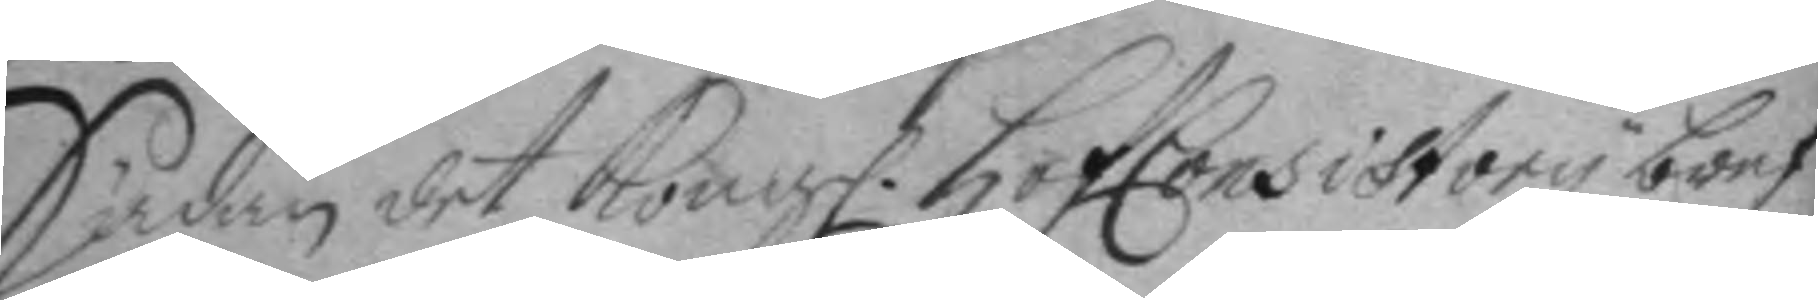Sädan det Kong. HofConsistory bref
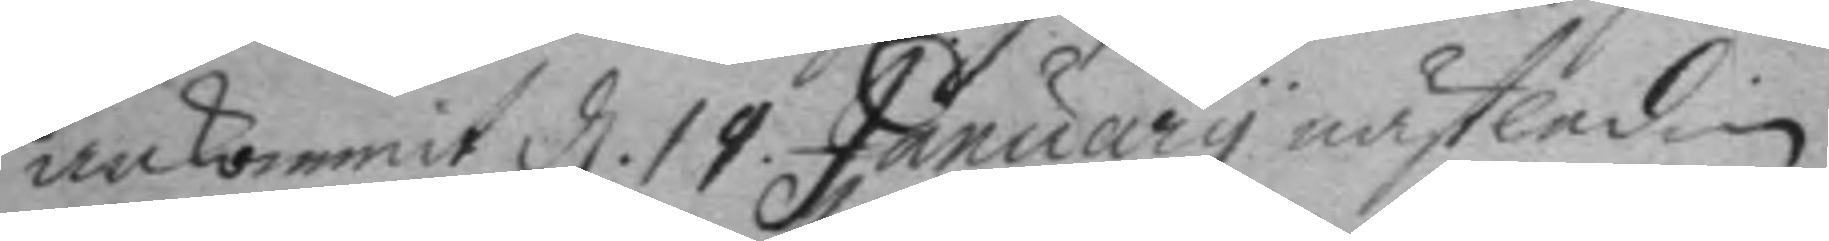ankomit d. 19 January nästledne
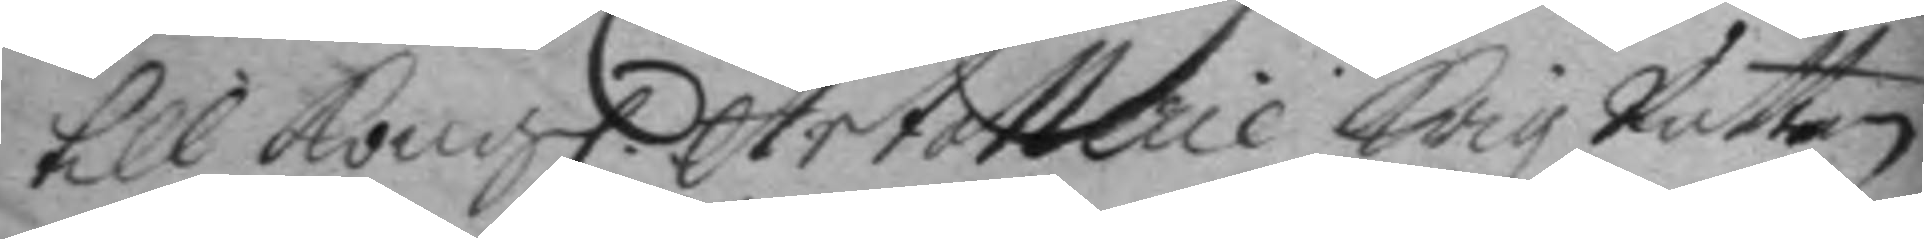till Kongl. Artollerie Krigz Rätten
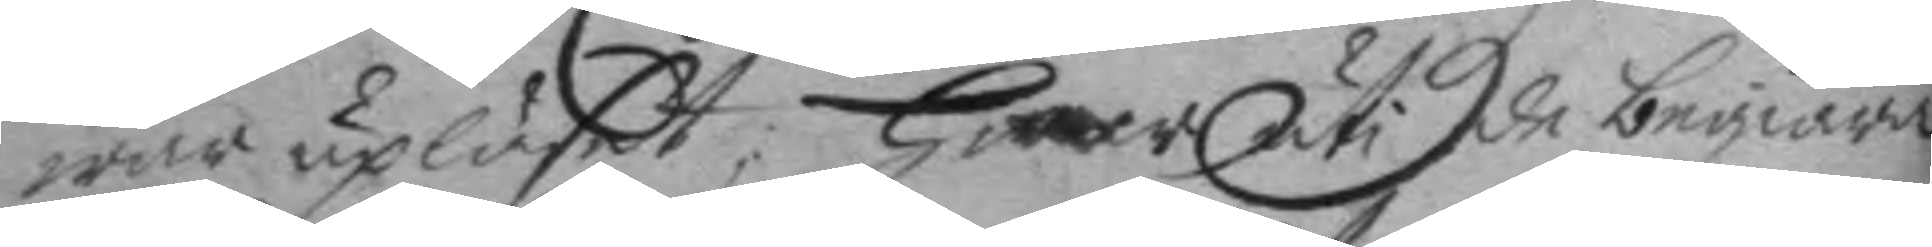war upläst; hwar uti de begiära
